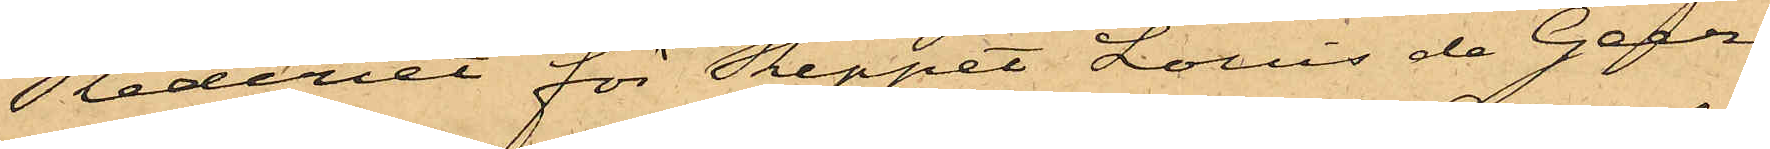Rederiet för Skeppet Louis de Geer,
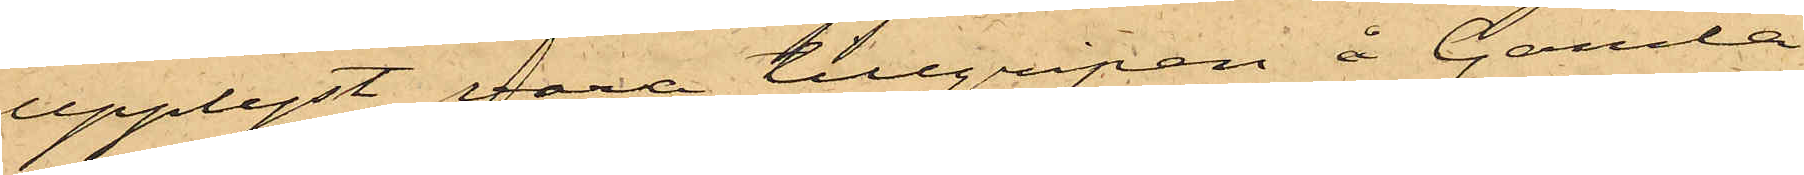upplyst vara tillgripen å Gamla
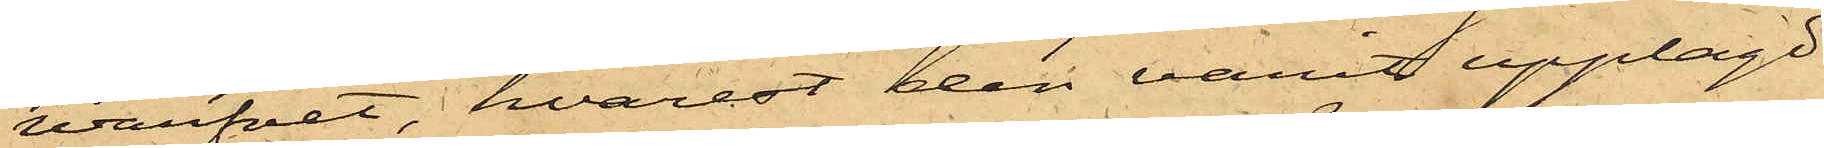Warfvet, hvarest den varit upplagt
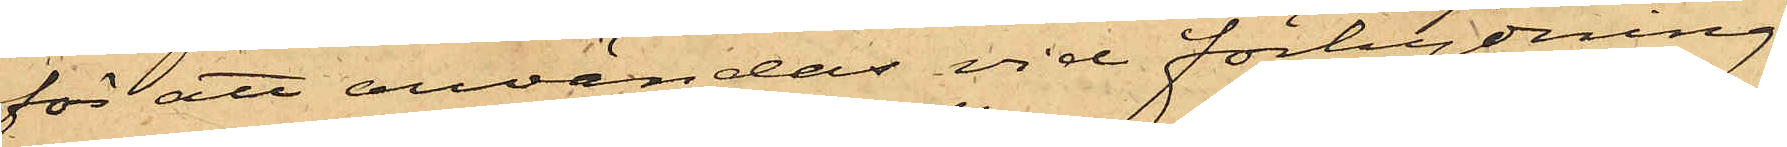för att användas vid förhydning
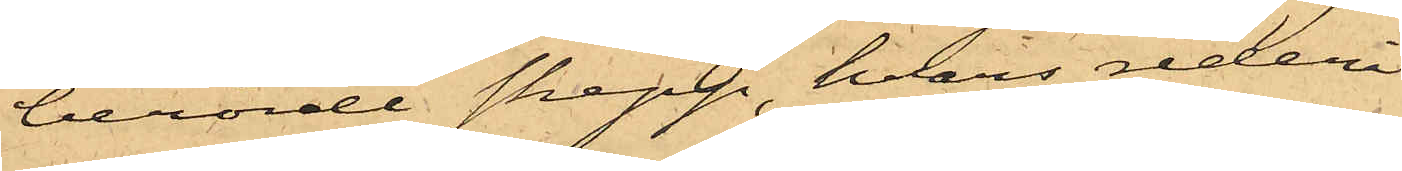berörde skepp, hvars rederi
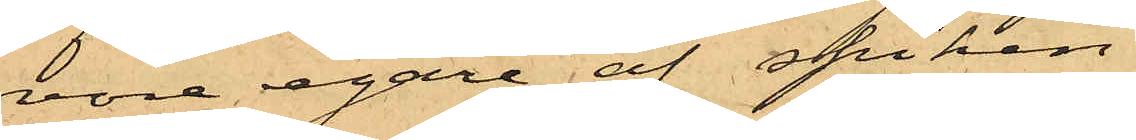vore egare af spiken.
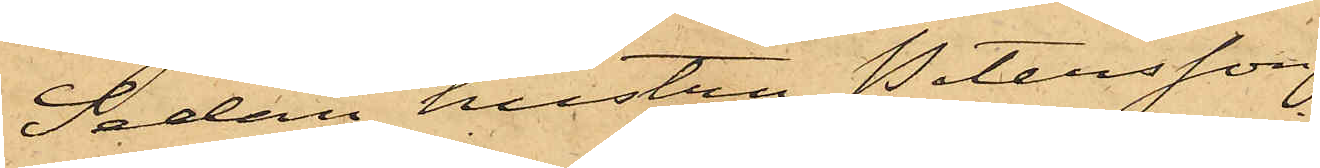Sedan hustru Petersson
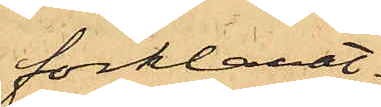förklarat,
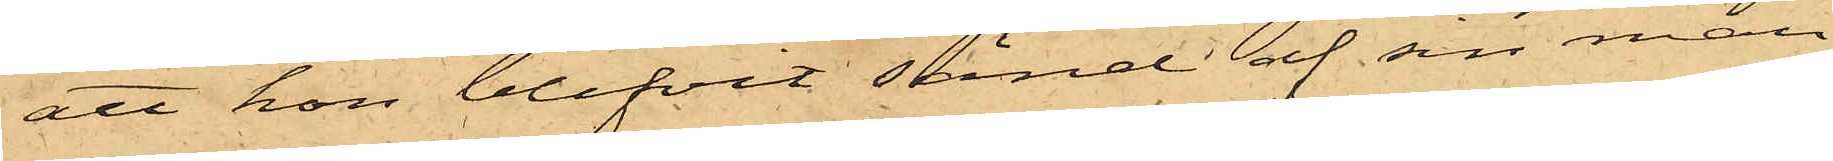att hon blifvit sänd af sin man
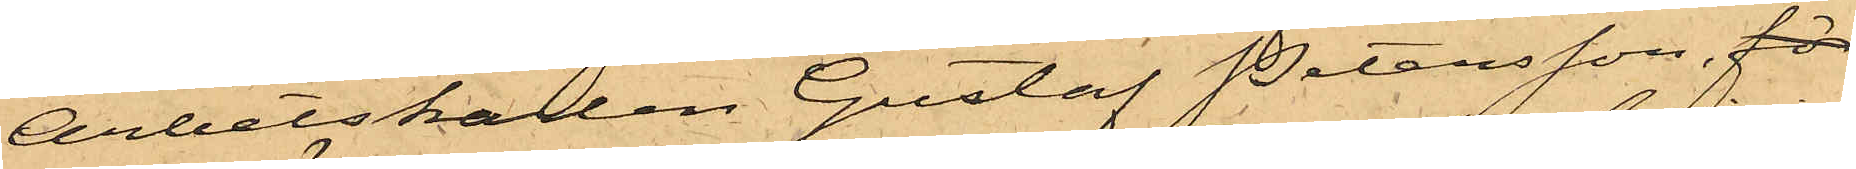Arbetskarlen Gustaf Petersson, för
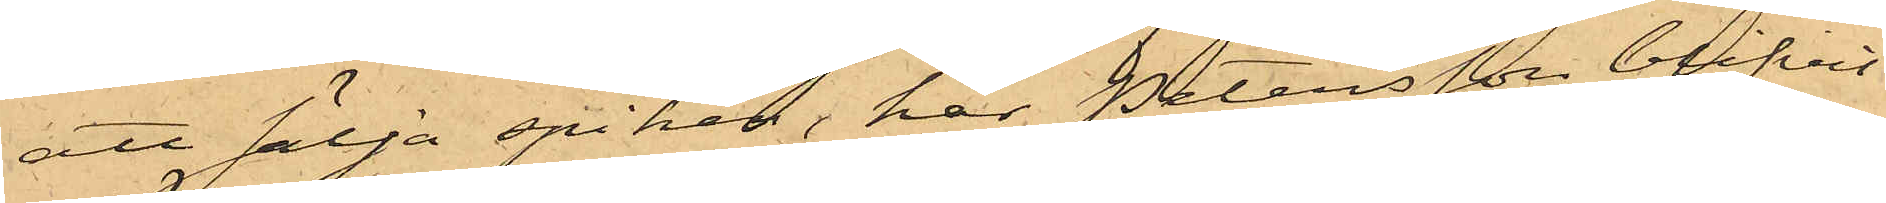att sälja spiken, har Petersson blifvit
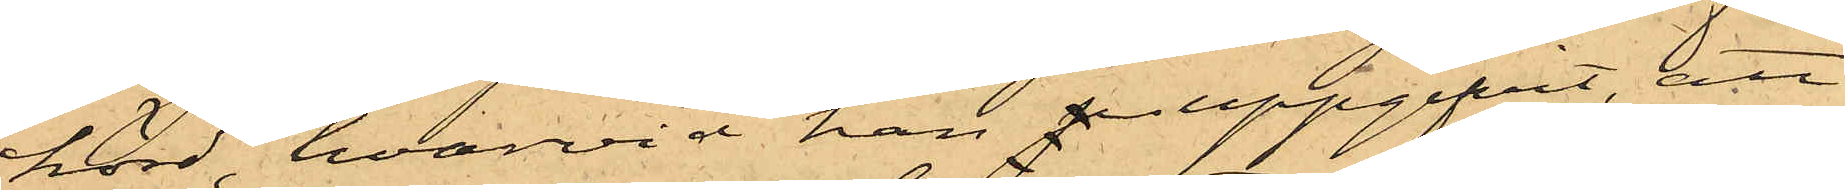hörd, hvarvid han p uppgifvit, att
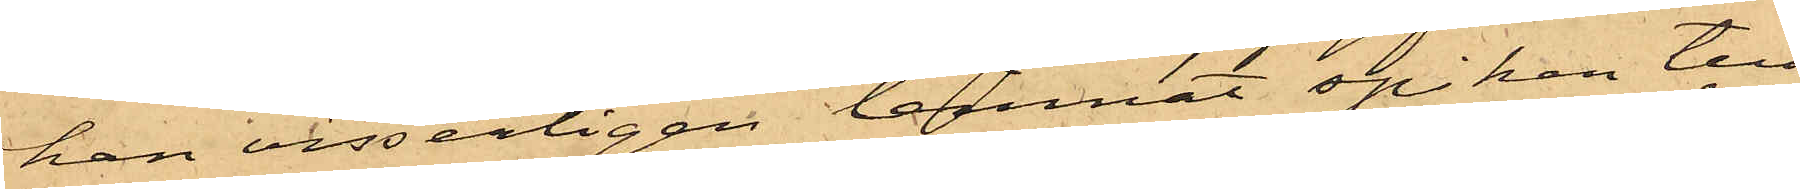han visserligen lemnat spiken till
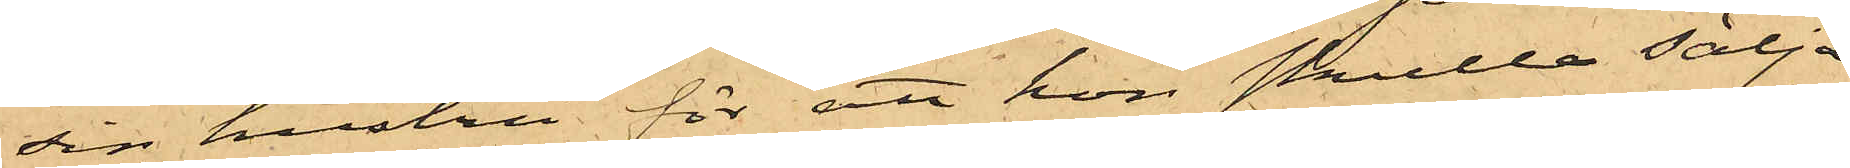sin hustru för att hon skulle sälja
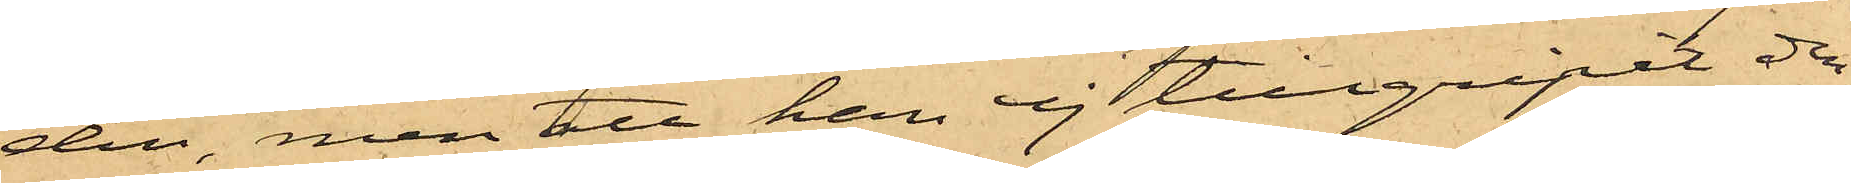den, men att han ej tillgripit den¬
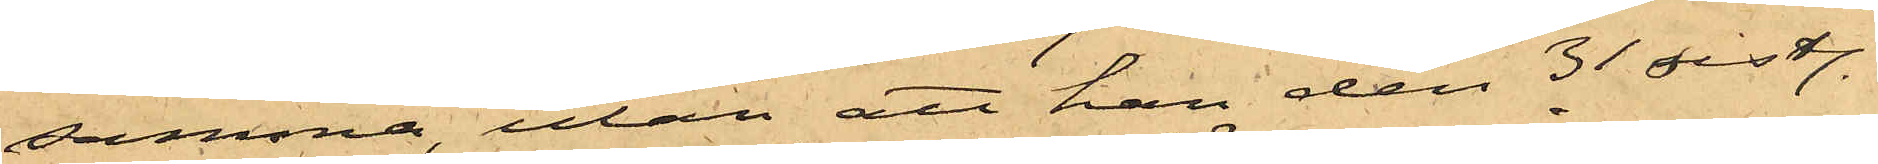samma, utan att han den 31 sistl.
